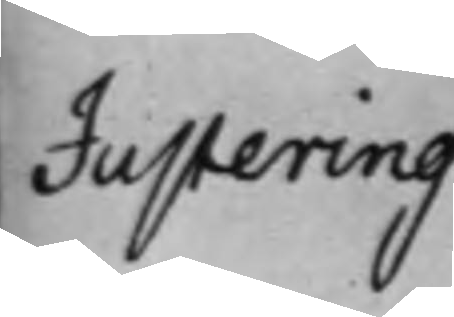Justering
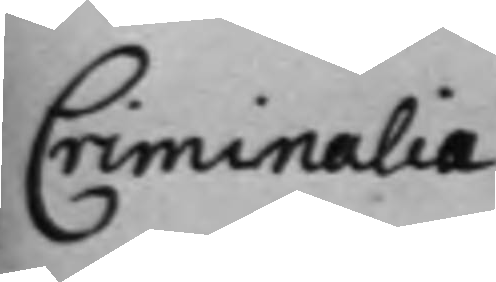Criminalia.
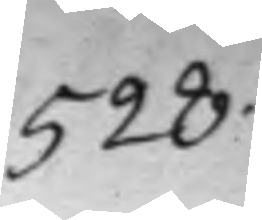528.
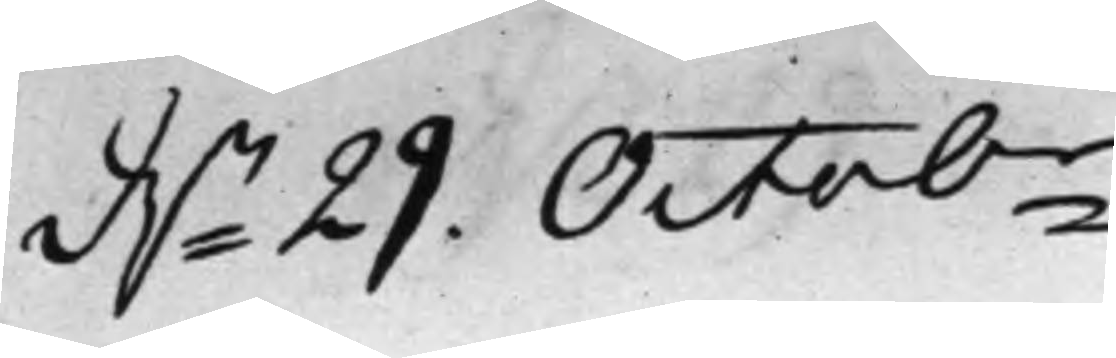d.n 29. Octobr
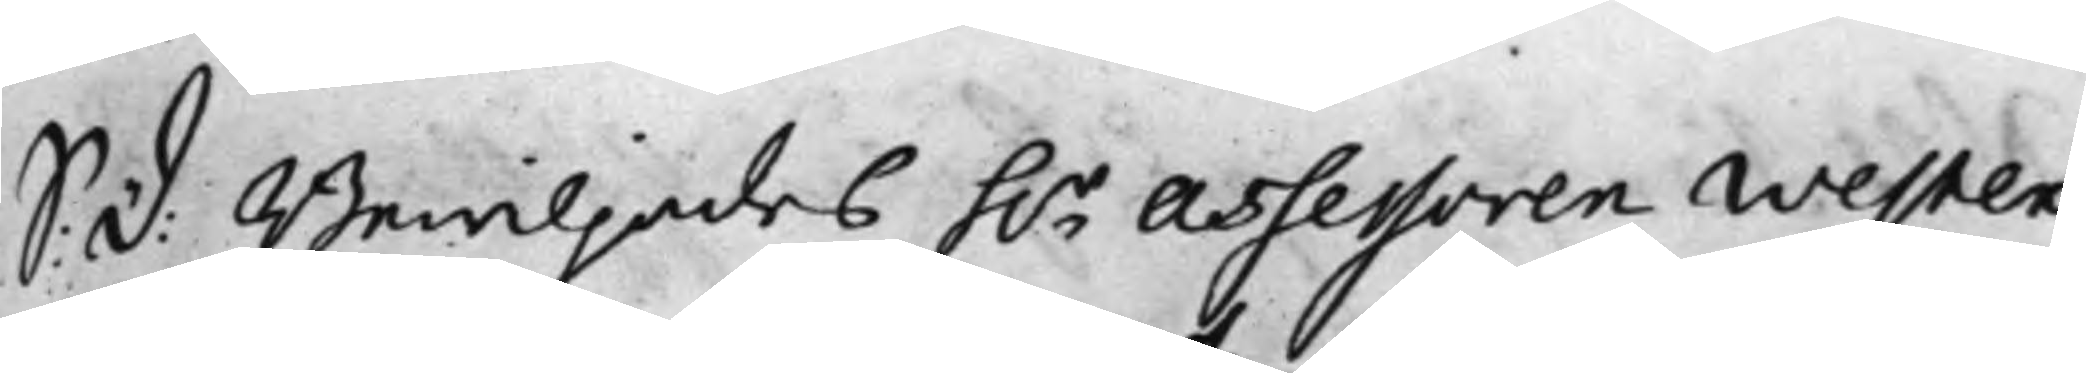S: d: Bewiljades h.r Assessoren Wester
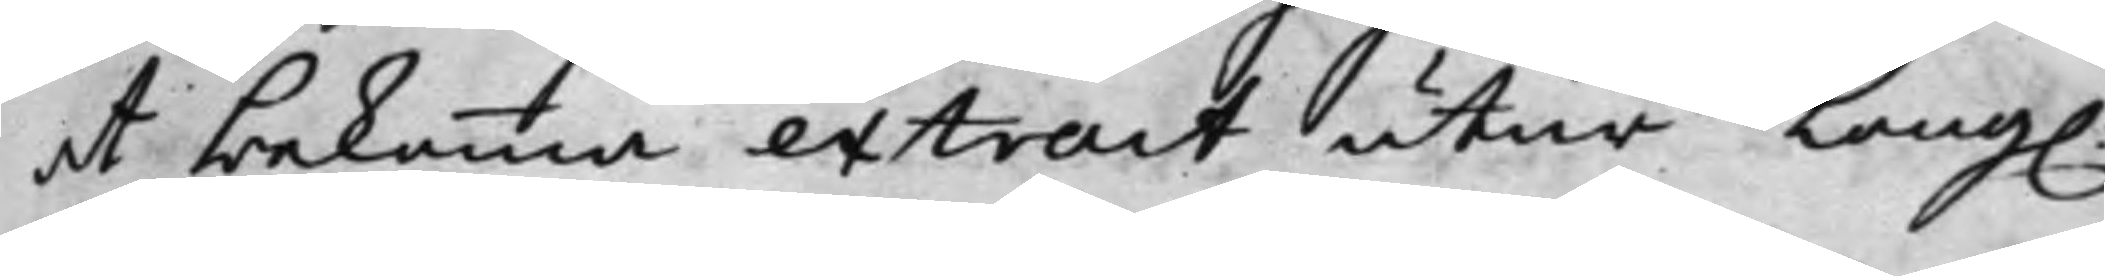at bekomma extract utur Kong.
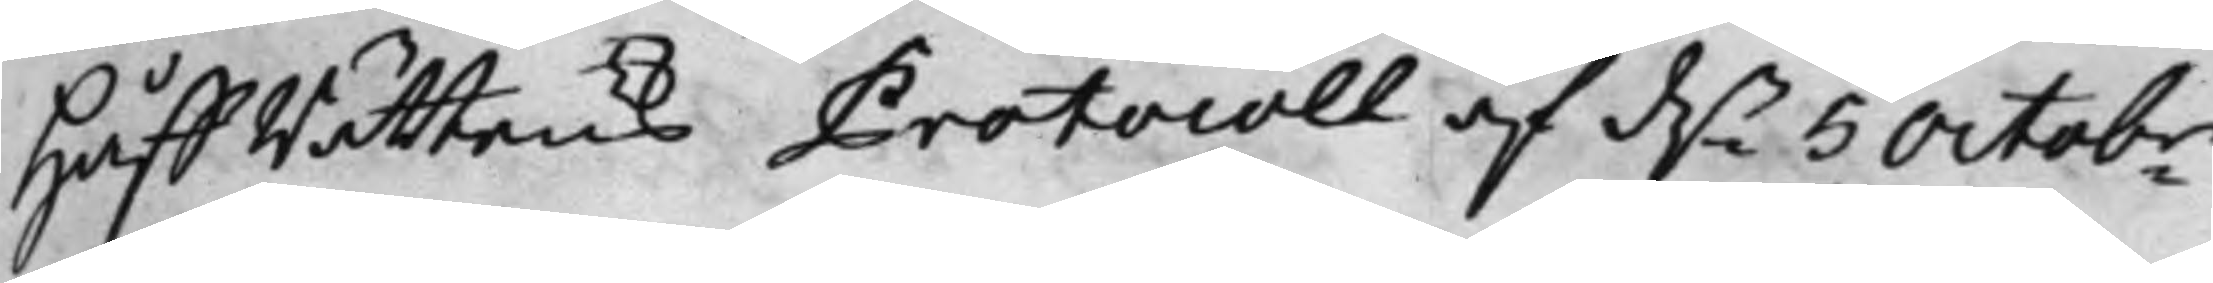HåffRättens Protocoll af d.n 5 Octobr
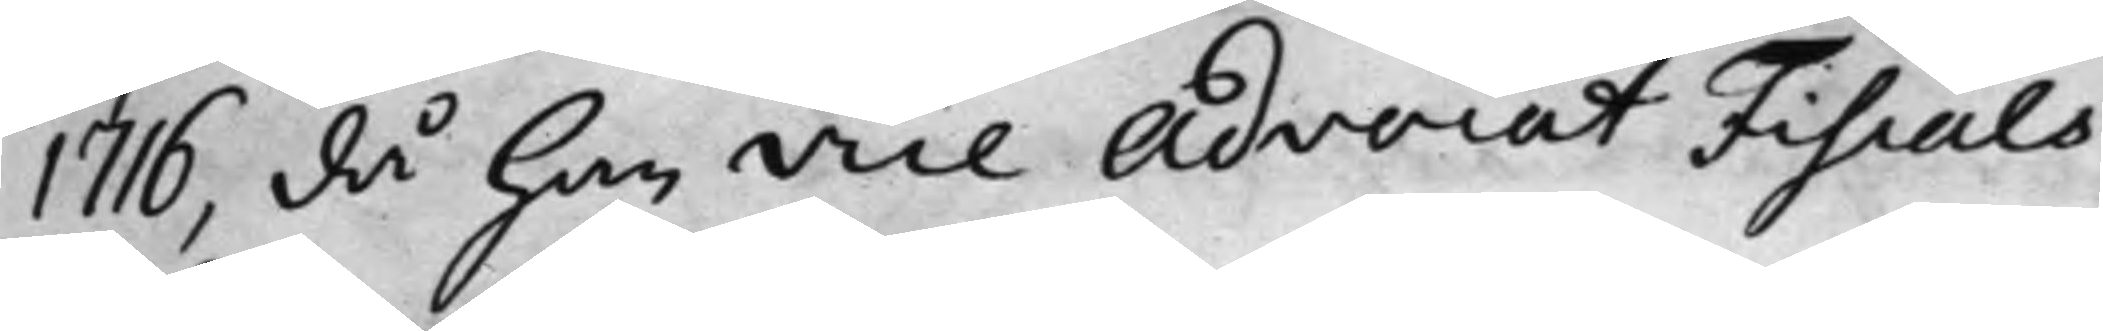1716, då han Vice Advocat Fiscals
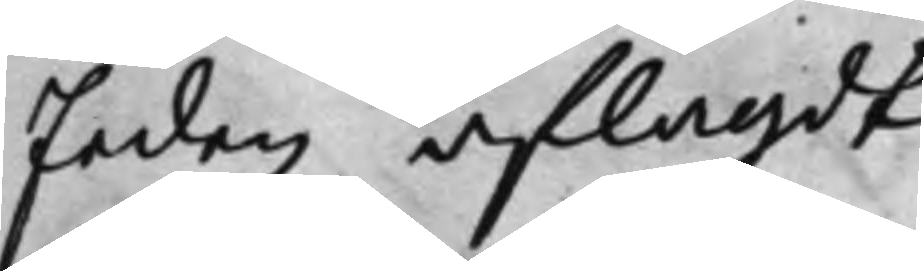Eeden aflagdt.
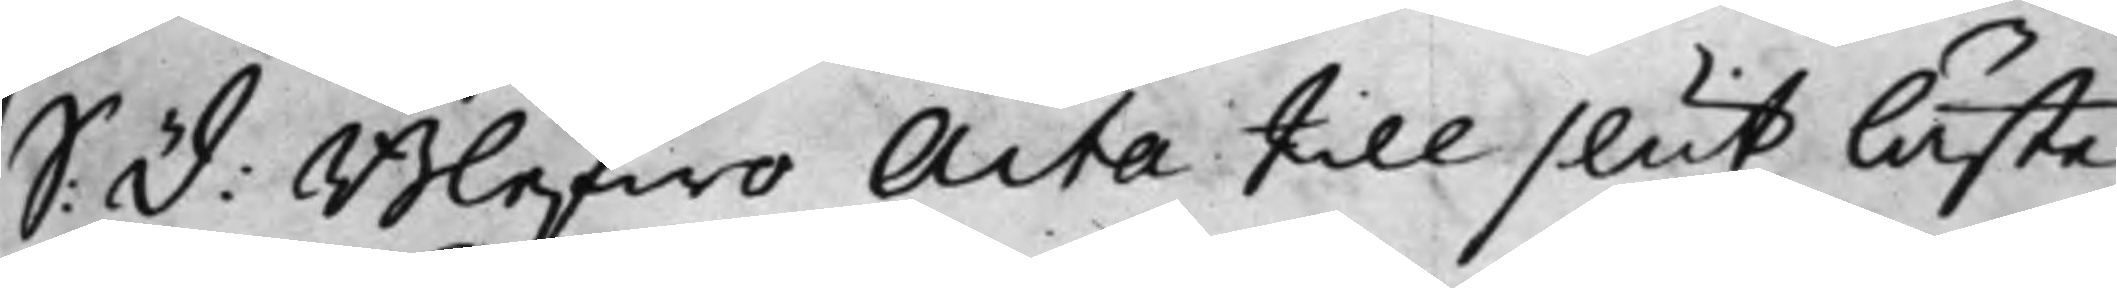S: D: Blefwo Acta till slut lästa
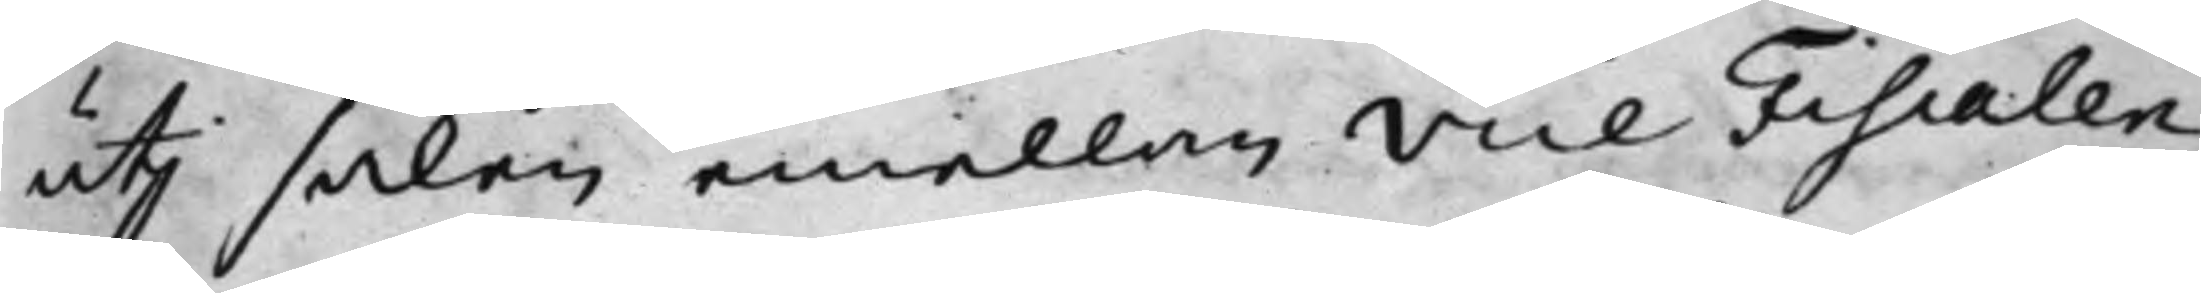uti saken emellan Vice Fiscalen
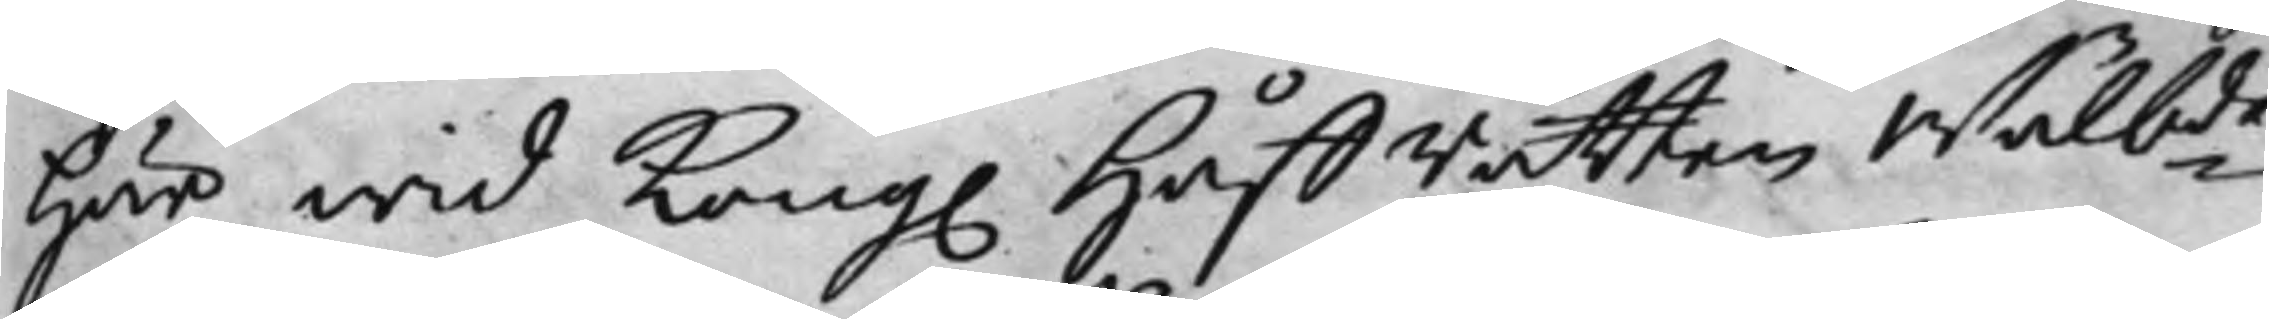här wid Kong. Håffrätten Wälbde
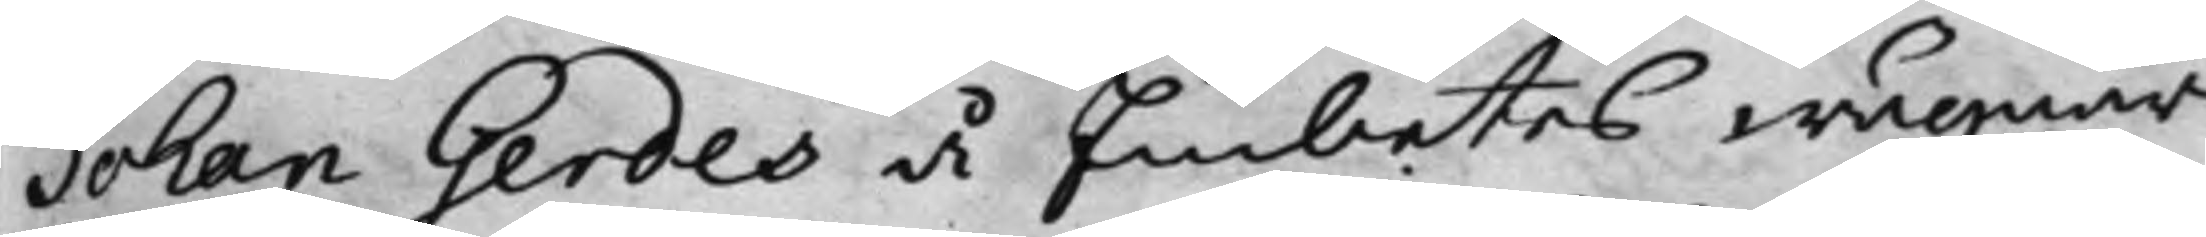Johan Gerdes å Embetes wägnar
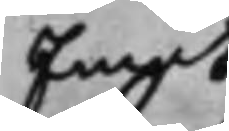Emot
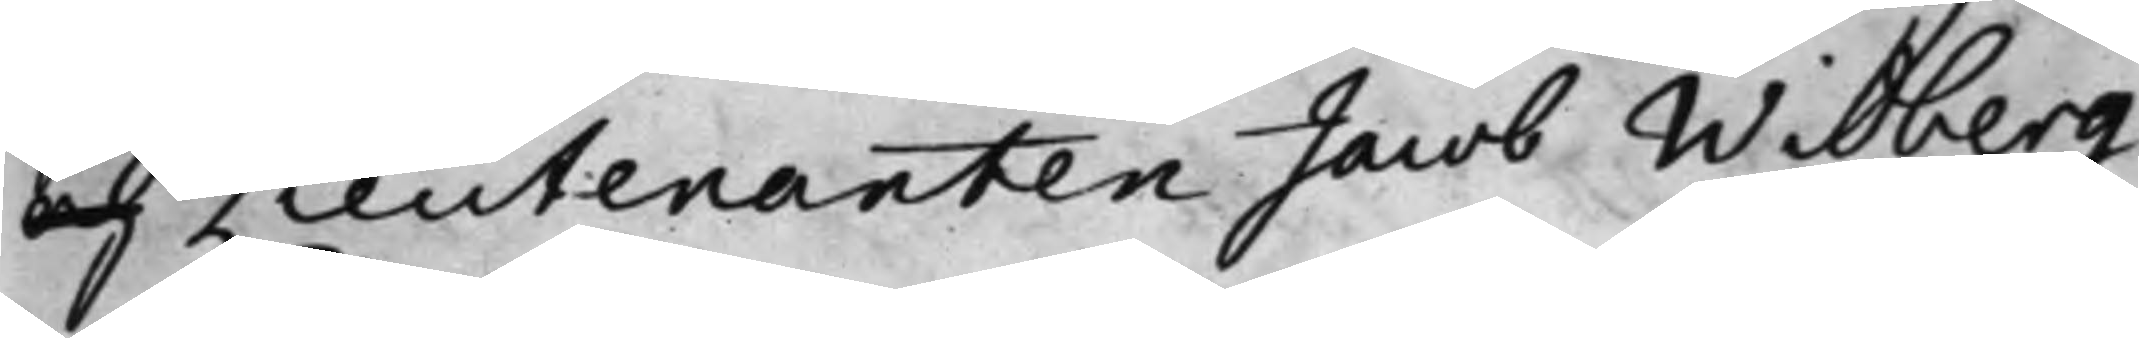och Lieutenanten Jacob Widberg
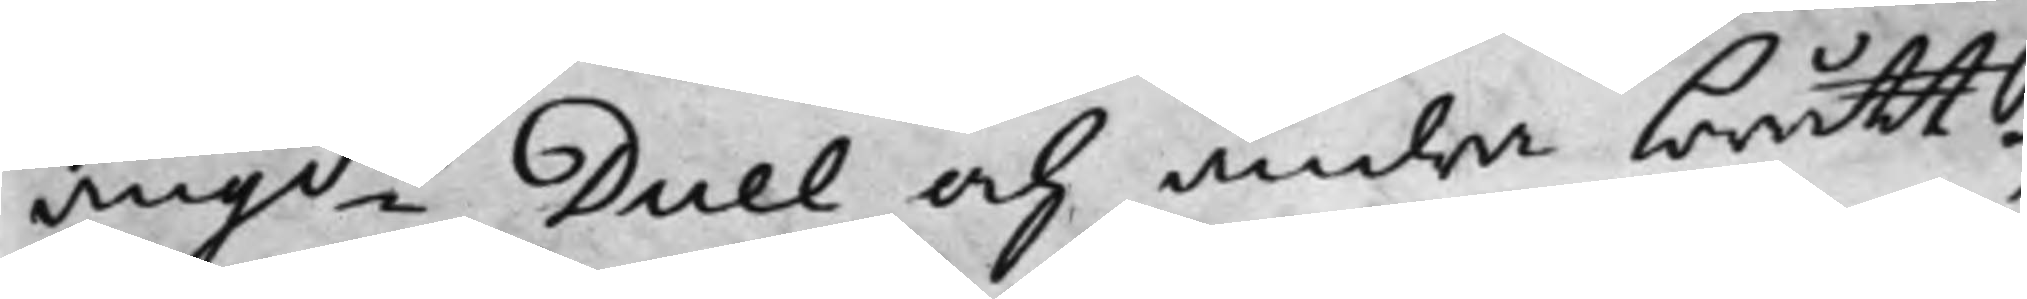angde Duel och andra brått,
